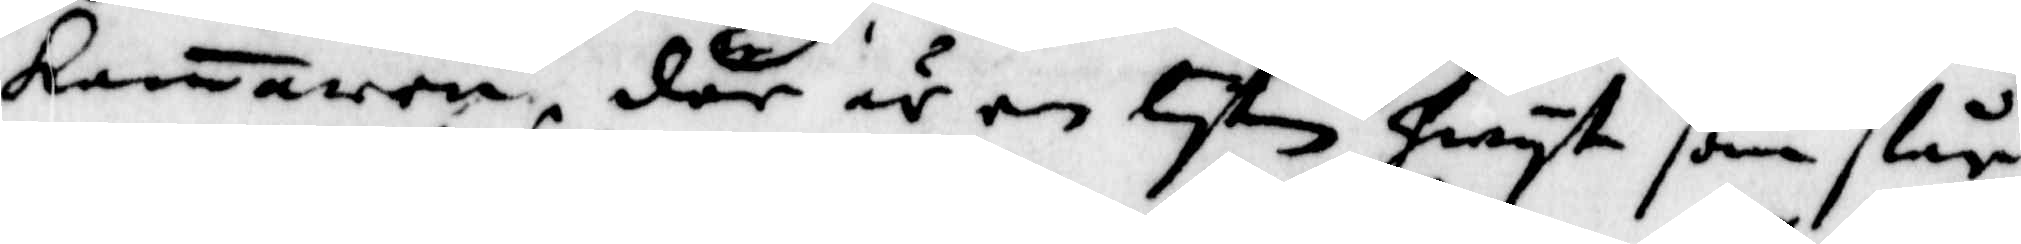Kamaren, där är en lyten hwyt som slår
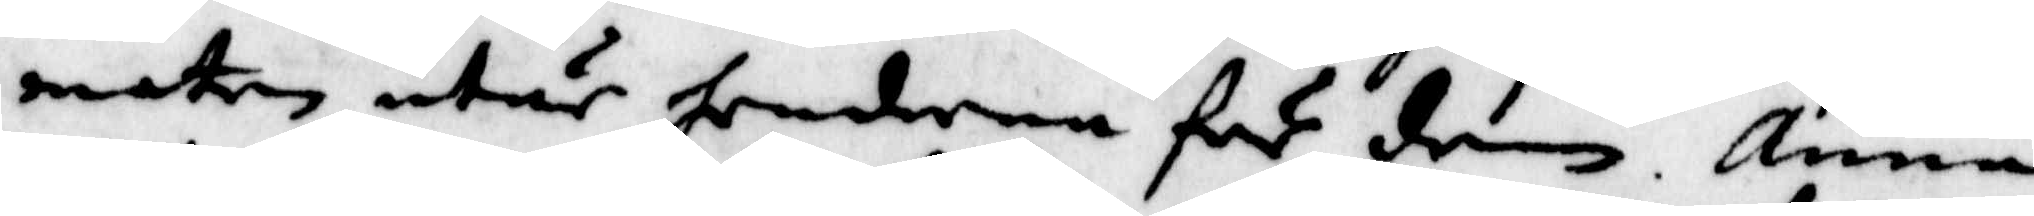maten utur henderna för dem. Anna
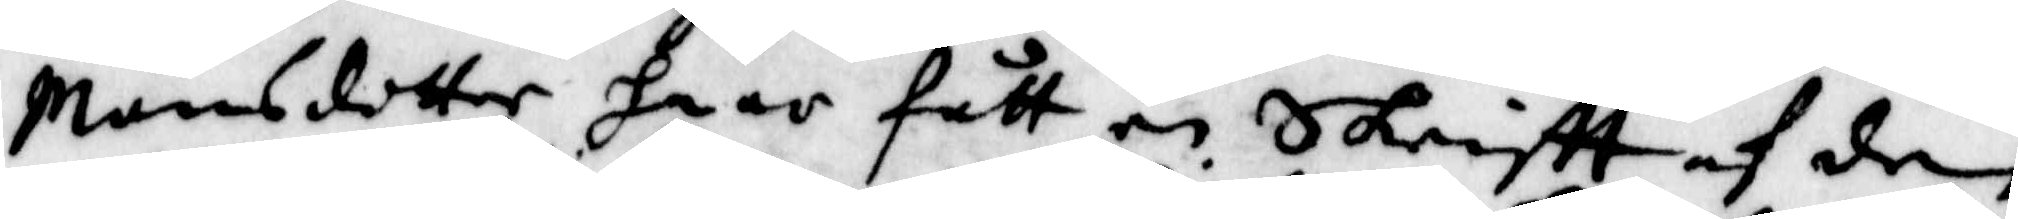Månsdotter haar fått en Skriftt af den
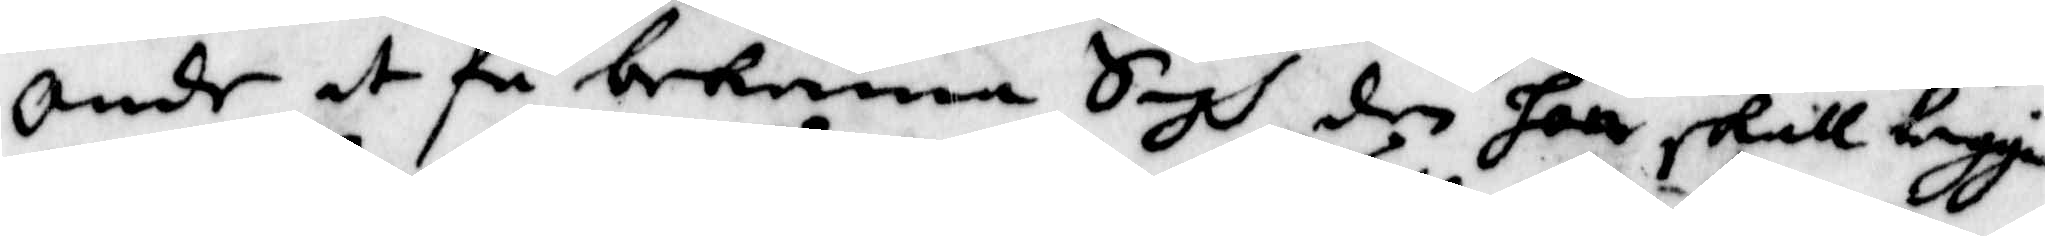onde at få bekenna Sigh den hon skall leggia
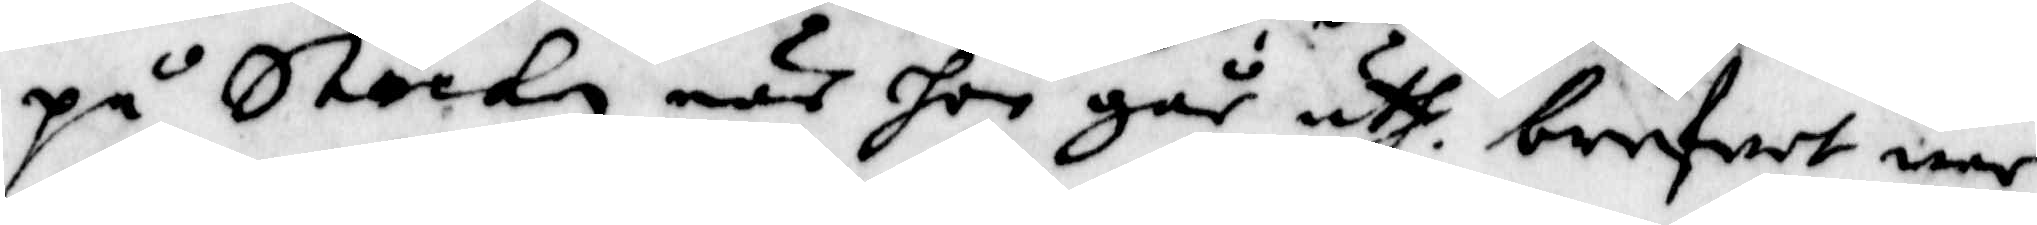på Stockn när hon går uth, brefwet war
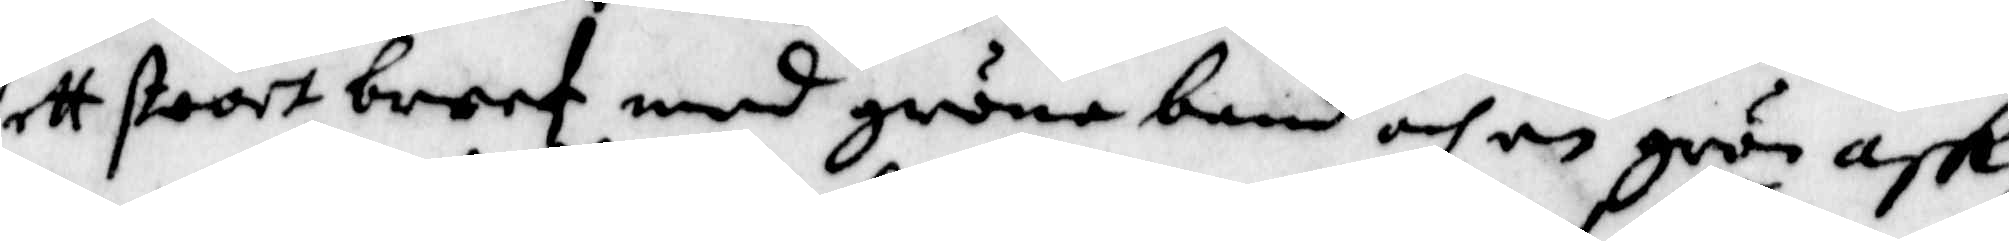ett stoort breef med gröna band och en grön ask,
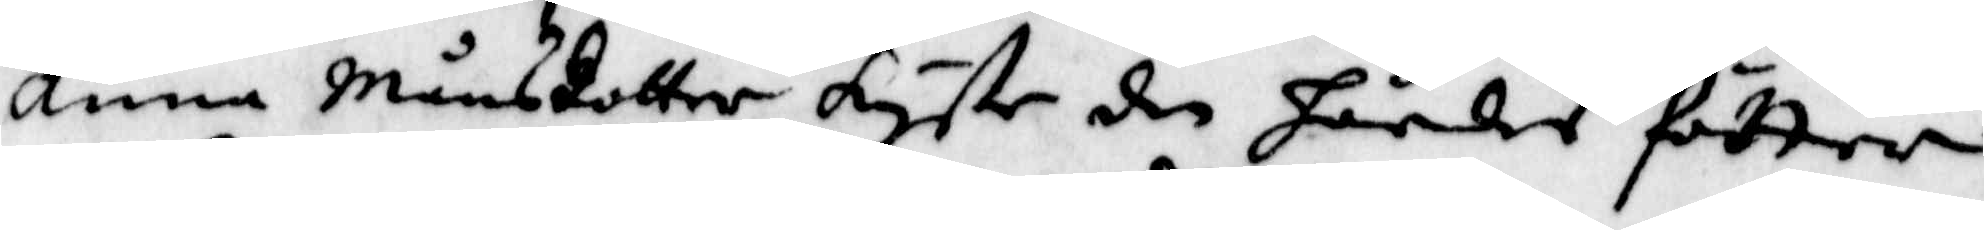Anna Månsdotter kyste den hårdes fötter
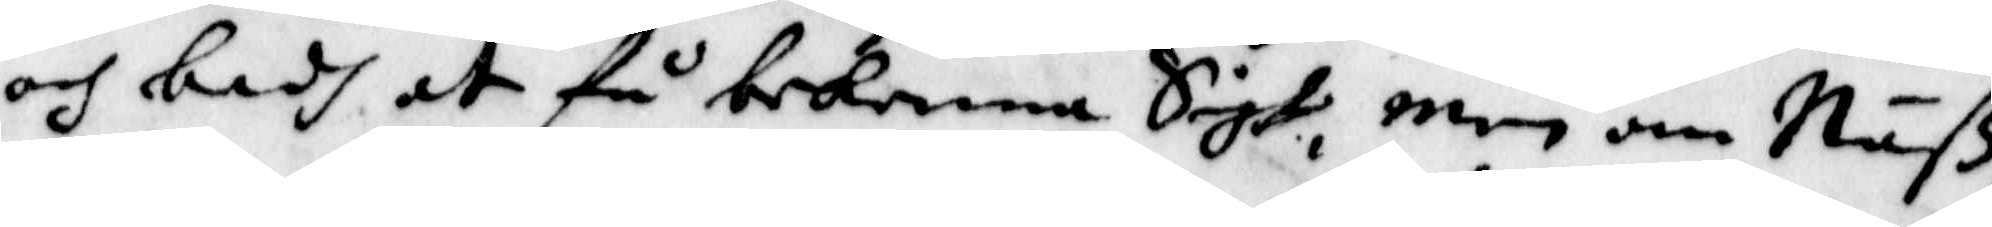och badh at få bekenna Sigh, men om Näß¬
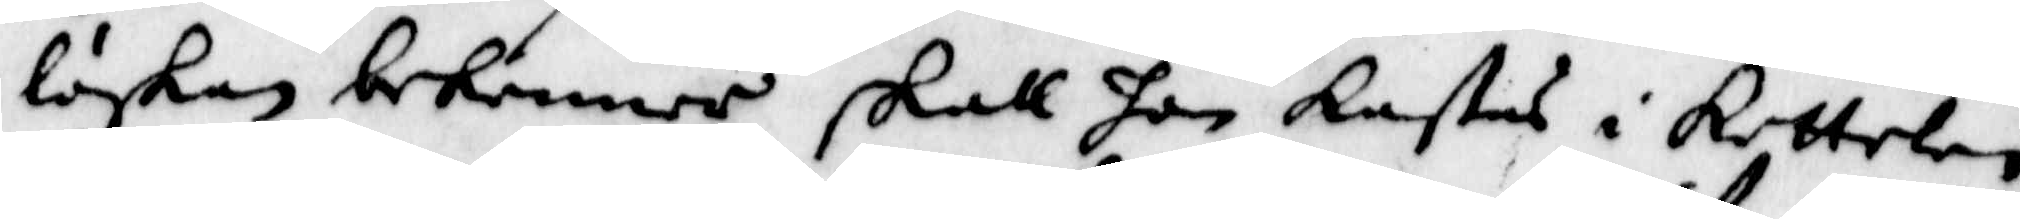löskan bekienner skall hon kastas i Kettelen,
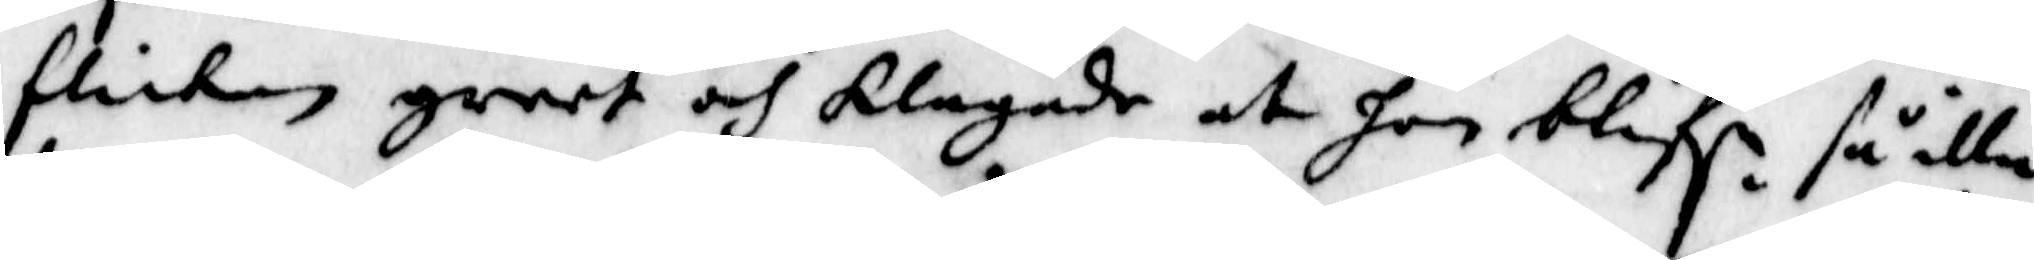flickan greet och klagade at hon blifr så illa
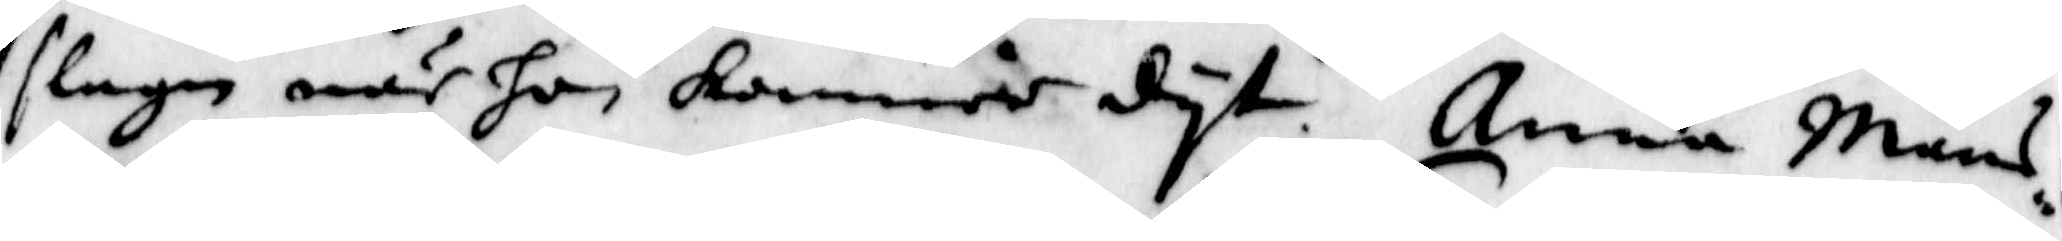slagen när hon kommer dyt. Anna Måns¬
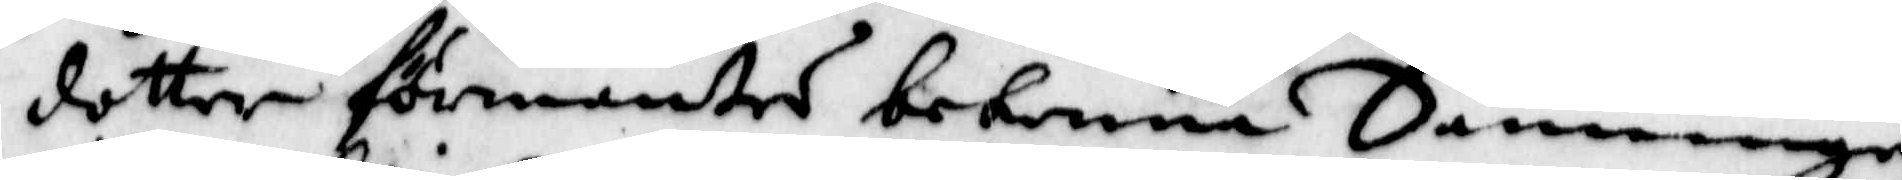dotter förmantes bekenna Sanningen
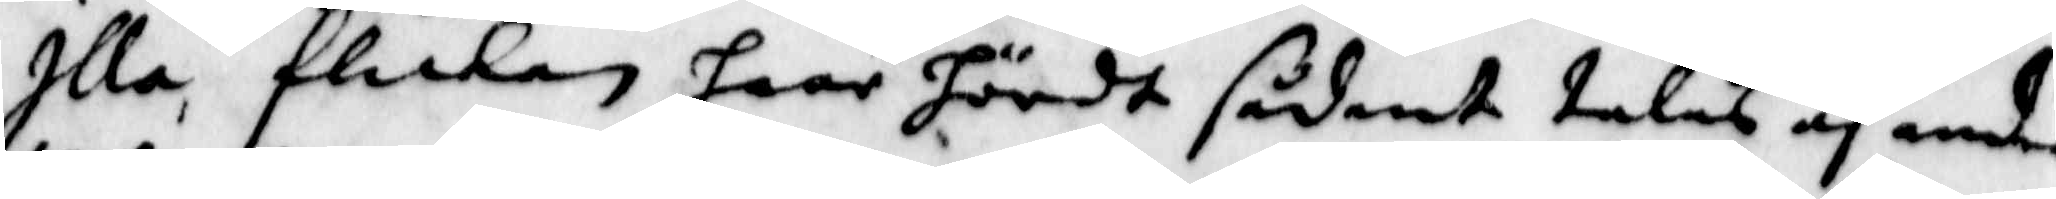Illa, flickan haar hördt sådant talas af andra
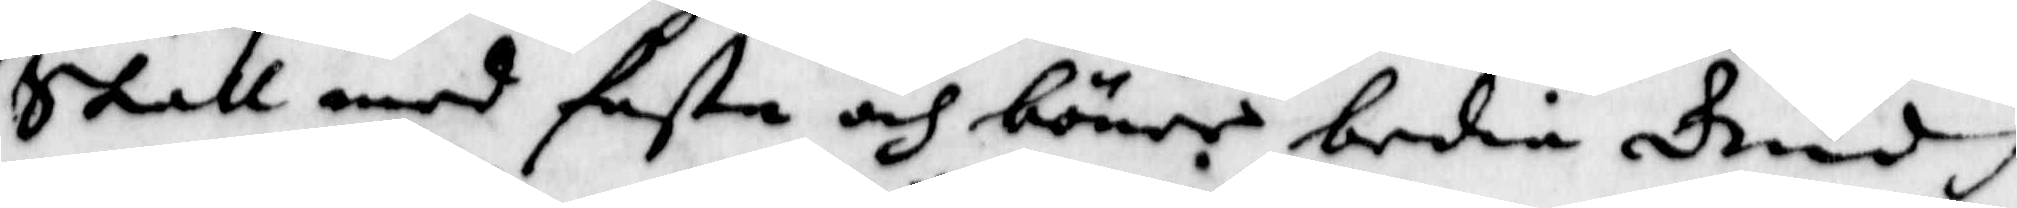skall med fasta och böner bedia Gudh
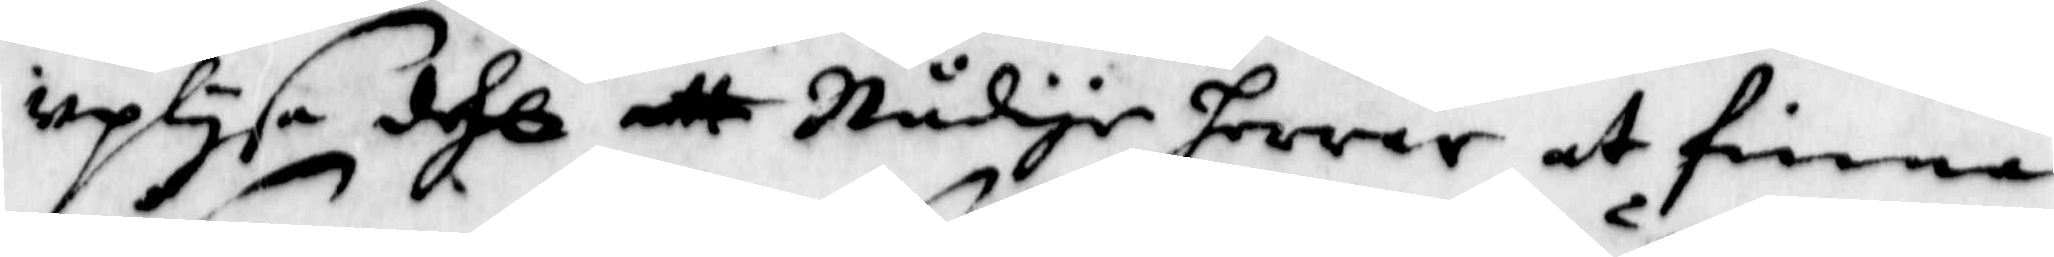uplysa dhe att Nådige herrar at finna
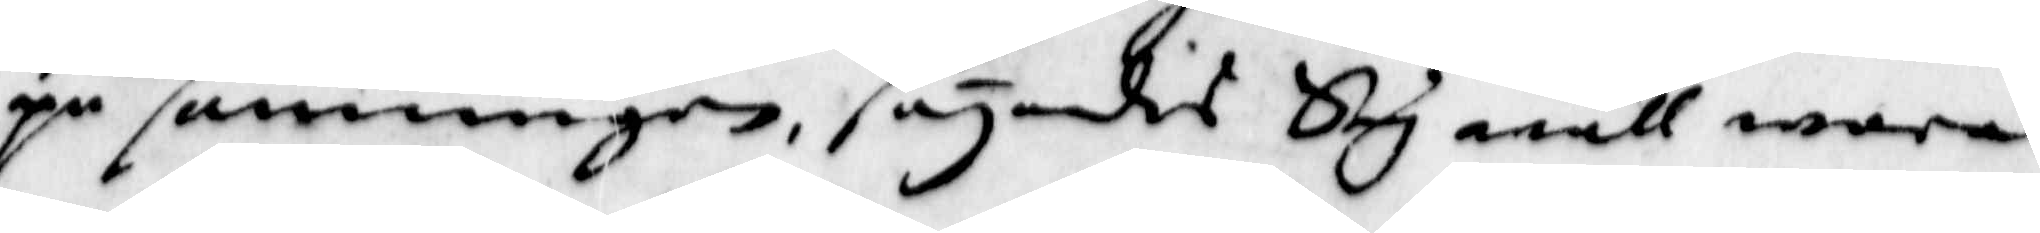på sanningen, säyandis Sig wäll wara
